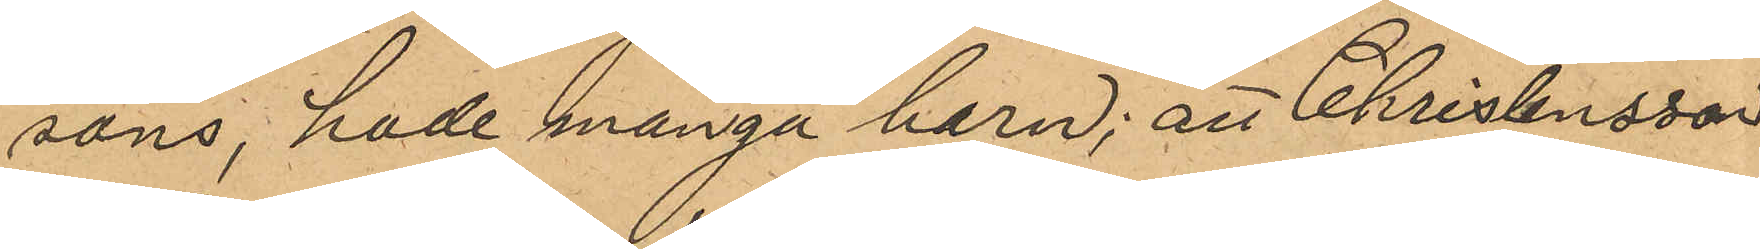sons, hade många harn; att Christensson
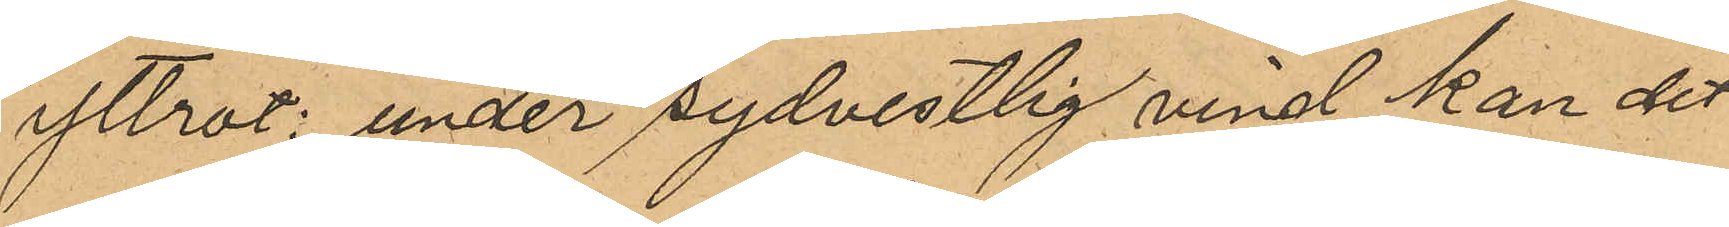yttrat: "under sydvestlig vind kan det
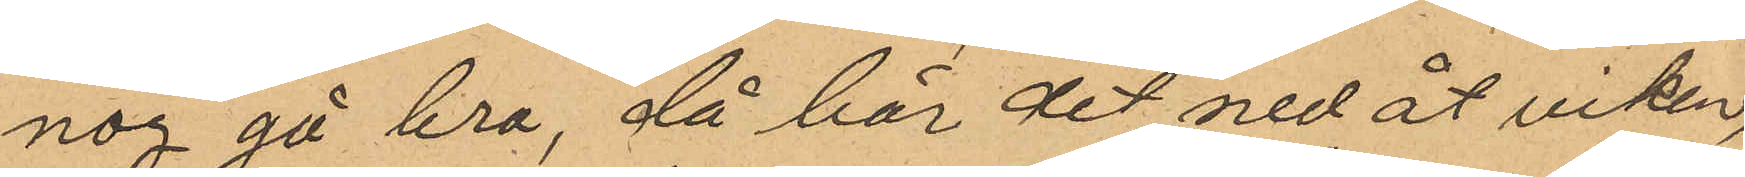nog gå bra, då bär det ned åt viken;
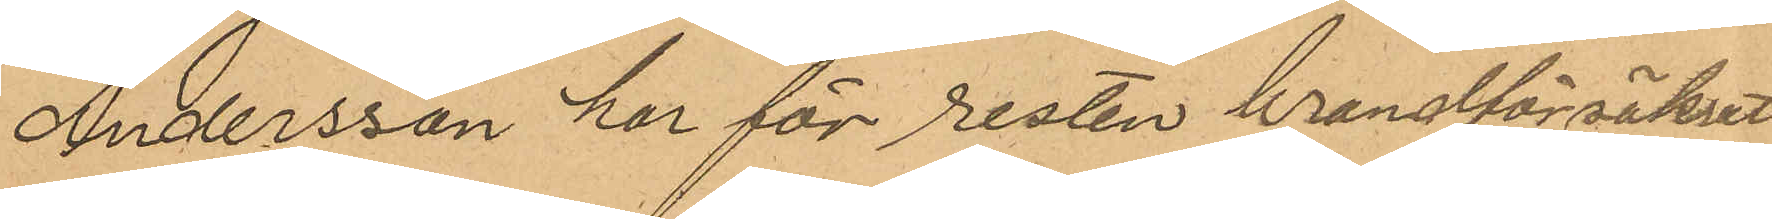Andersson har för resten brandförsäkrat
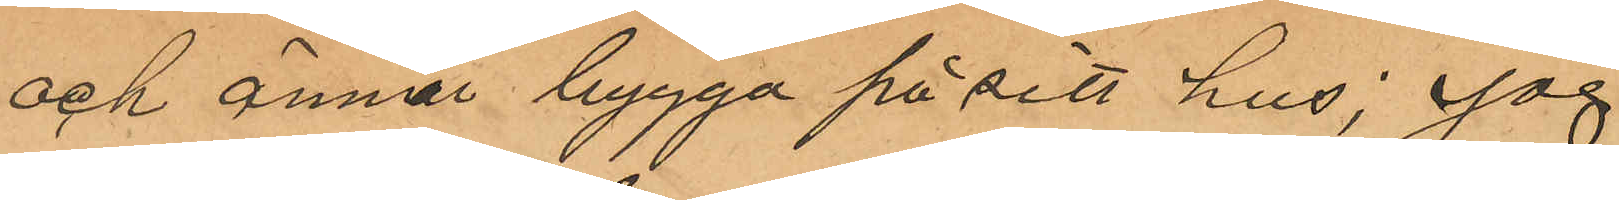och ämna bygga på sitt hus; jag
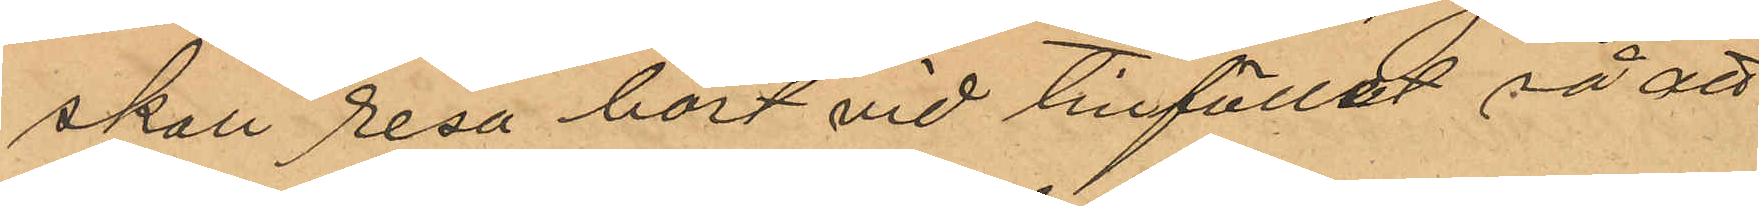skall resa bort vid tillfället så att
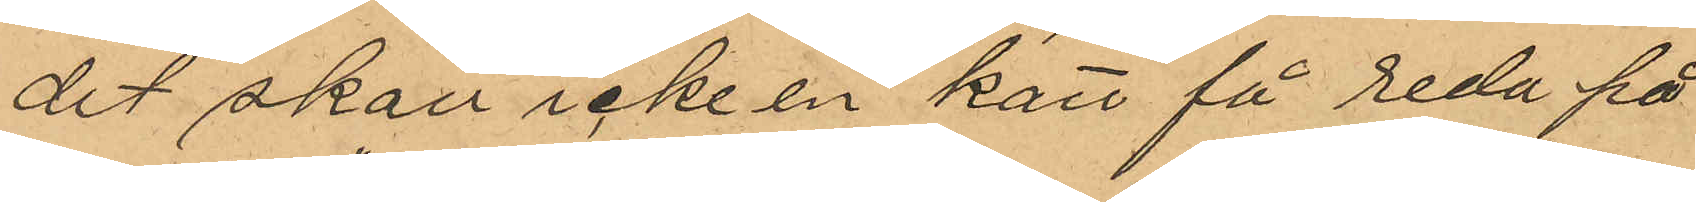det skall icke en katt få reda på
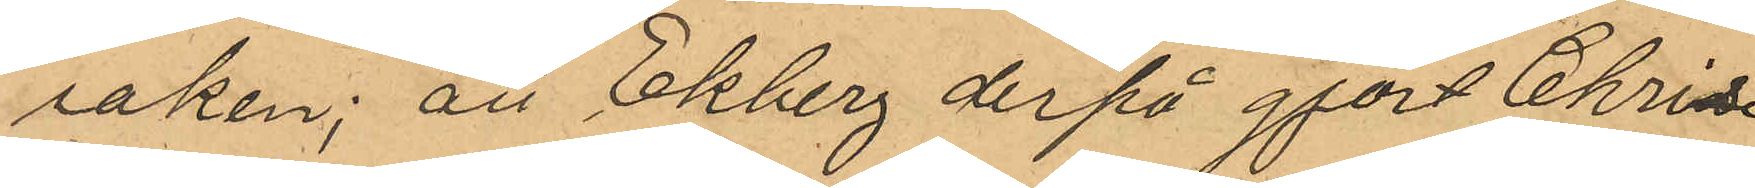saken"; att Ekberg derpå gjort Chri¬
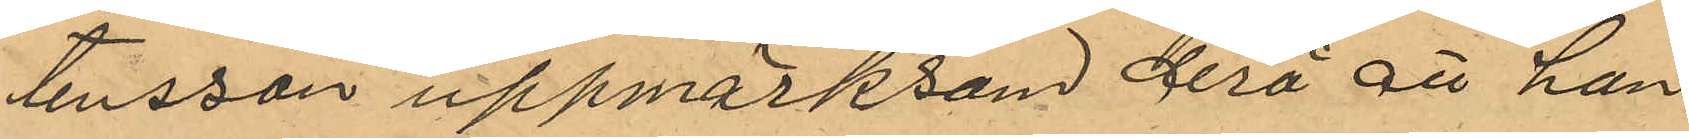tensson uppmärksam derå att hon
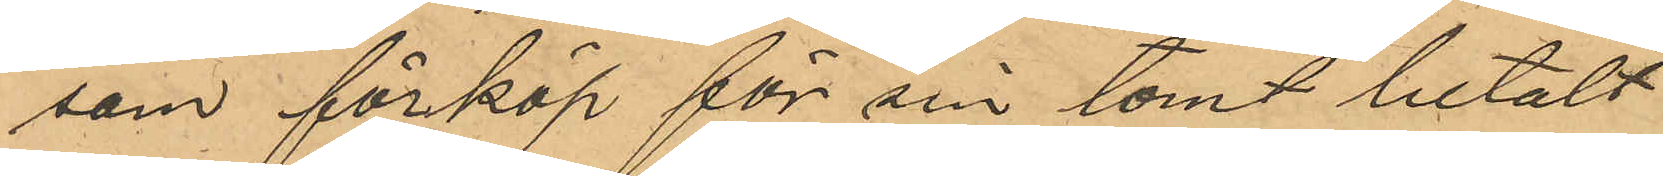som förköp för sin tomt betalt
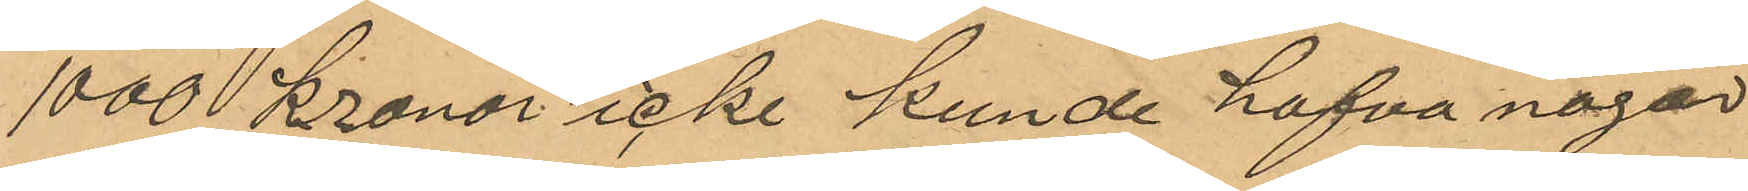1000 kronor icke kunde hafva någon
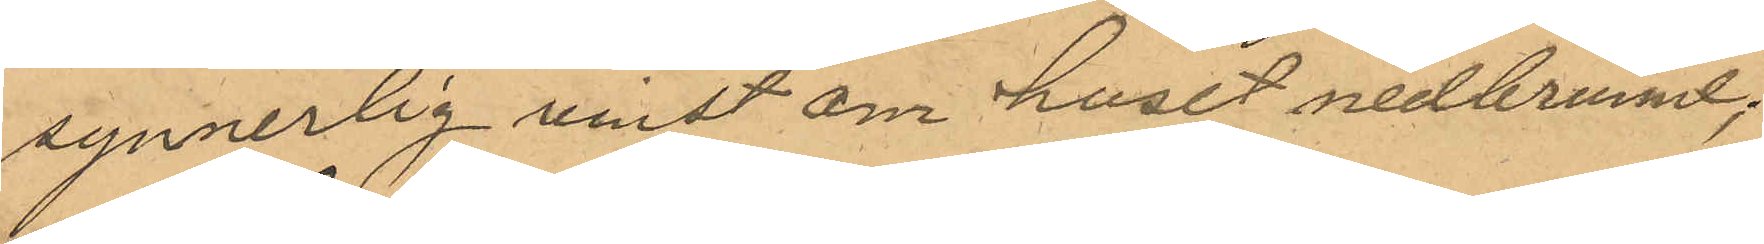synnerlig vinst om huset nedbrunnit;
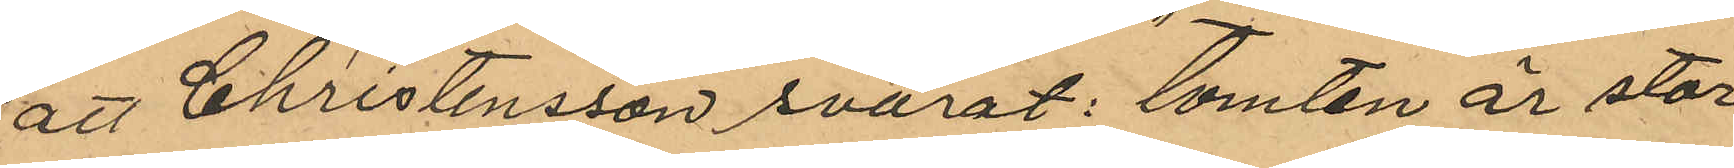att Christensson svarat: "tomten är stor
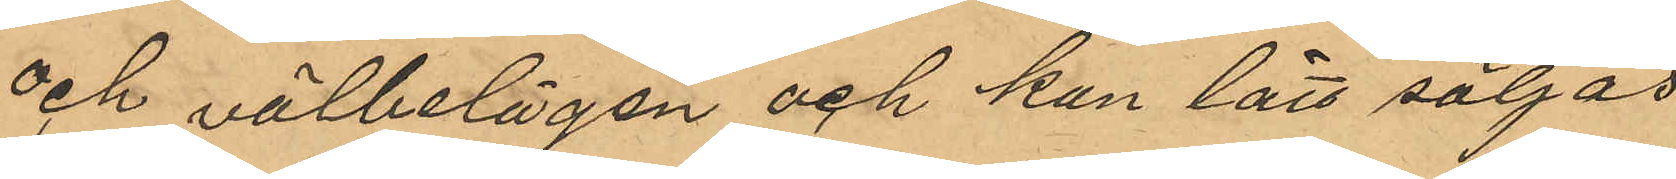och välbelägen och kan lätt säljas
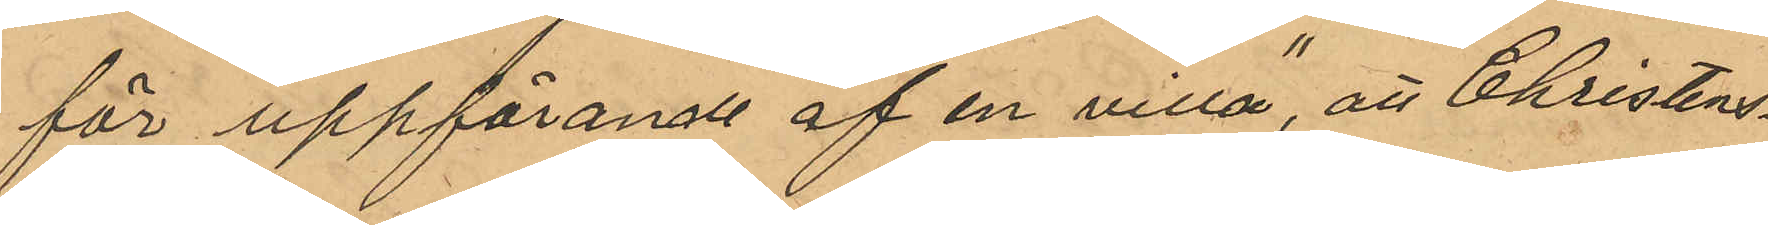för uppförande af en villa", att Christen¬
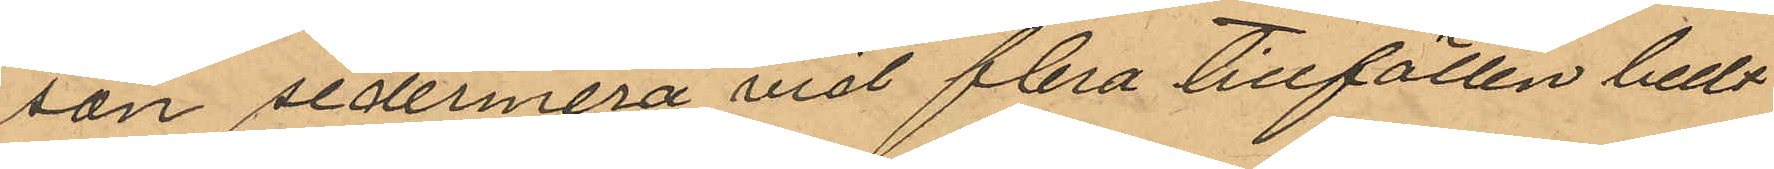son sedermera vid flera tillfällen bedt
